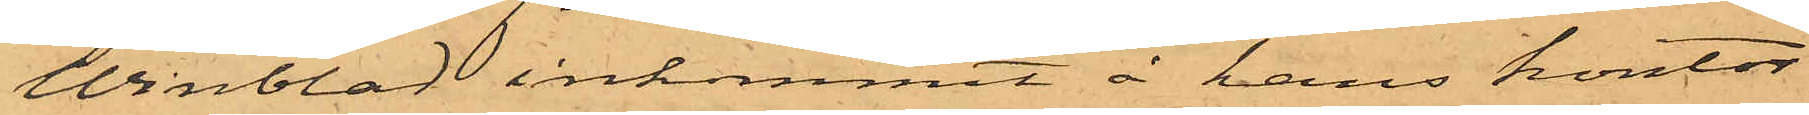Winblad inkommit å hans kontor
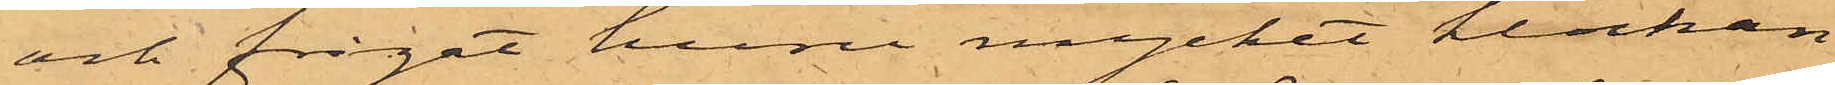och frågat huru mycket klockan
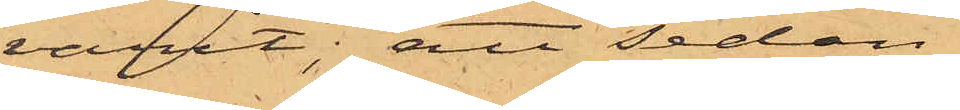varit, att sedan
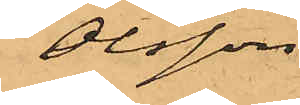Olsson
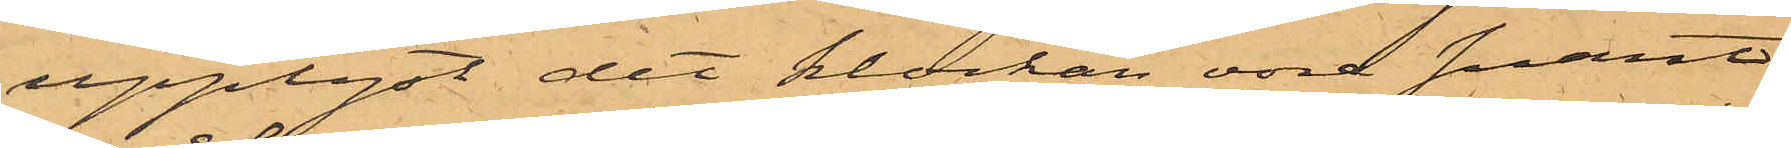upplyst det klockan vore snart
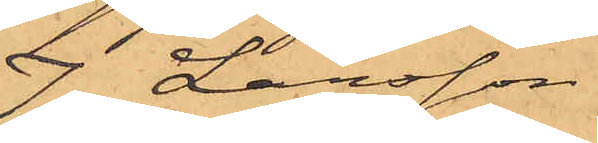7, Larsson
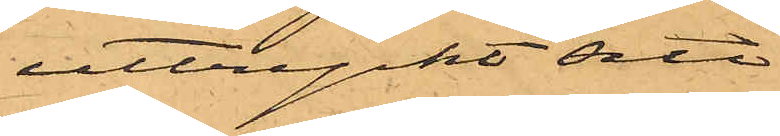uttryckt sitt
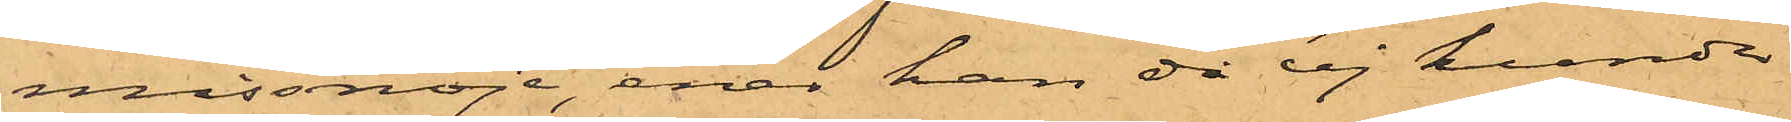missnöje, enär han då ej kunde
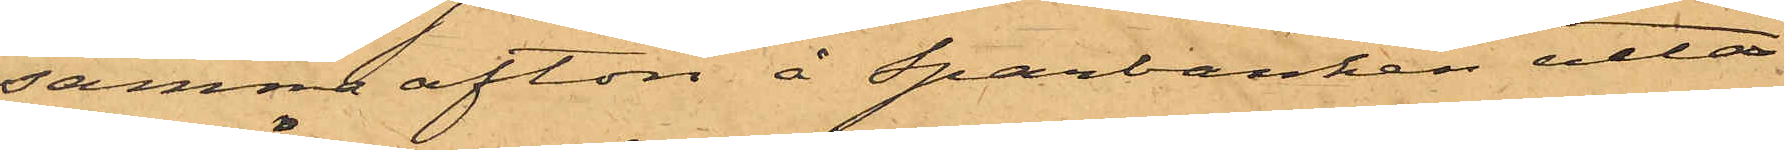samma afton å Sparbanken utta¬
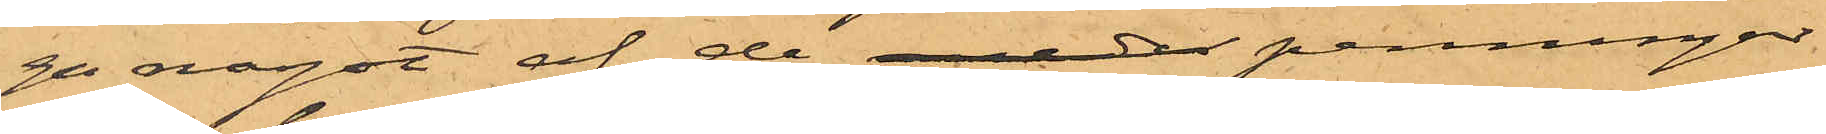ga något af de mede penningar
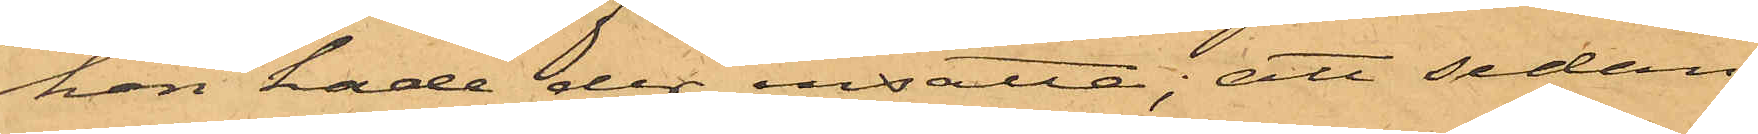han hade der insatta; att sedan
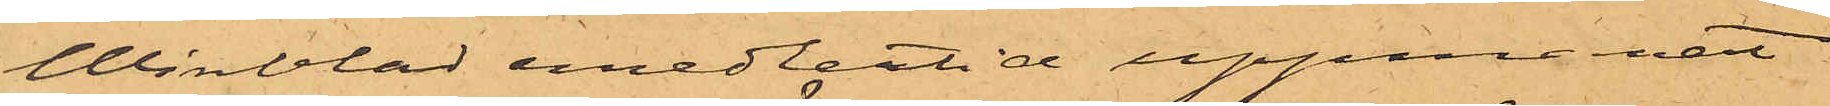Winblad emedlertid uppmanat
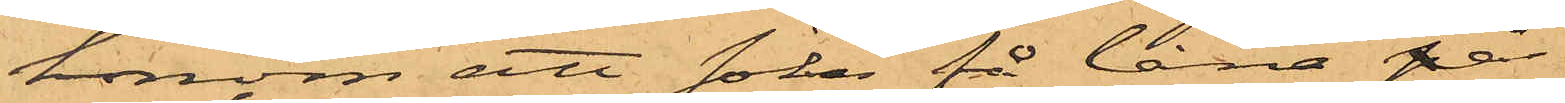honom att söka få låna på
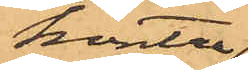kontra¬
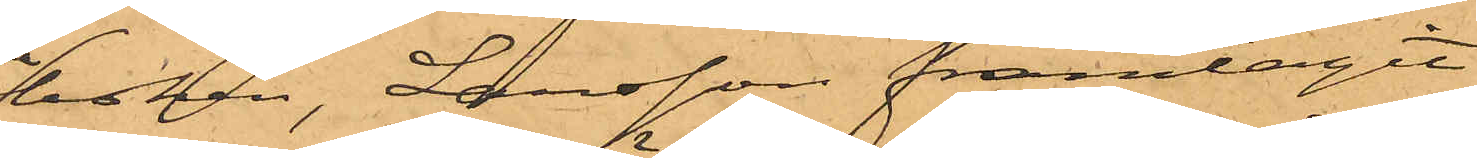boken, Larsson framtagit
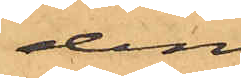den
